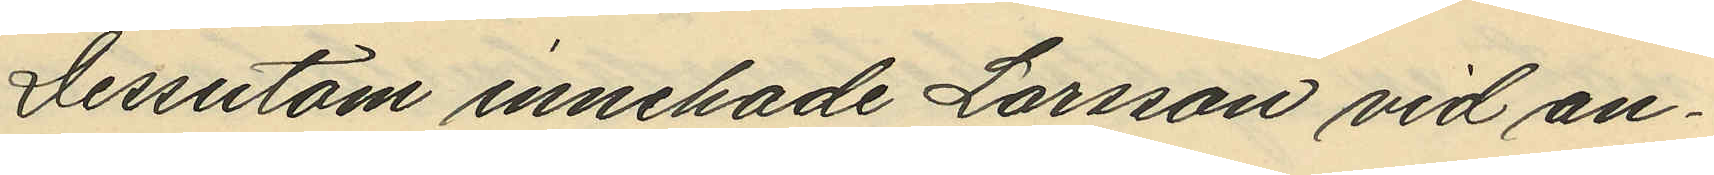Dessutom innehade Larsson vid an¬
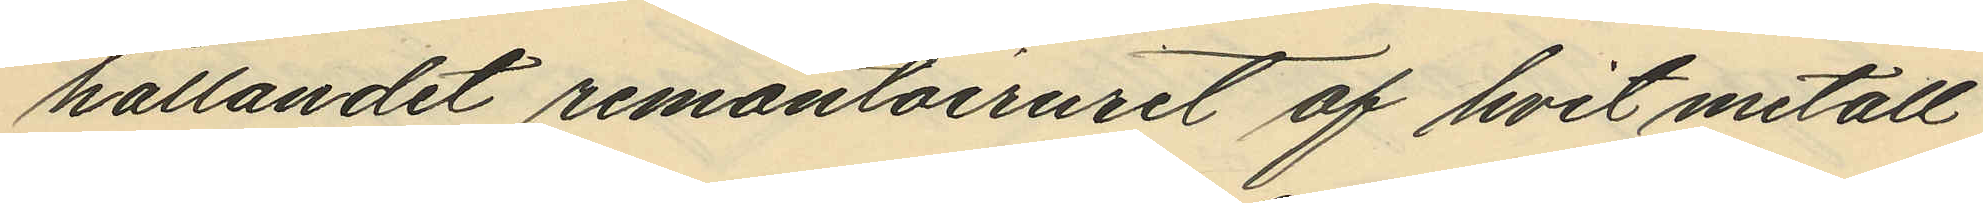hållandet remontoiruret af hvit metall
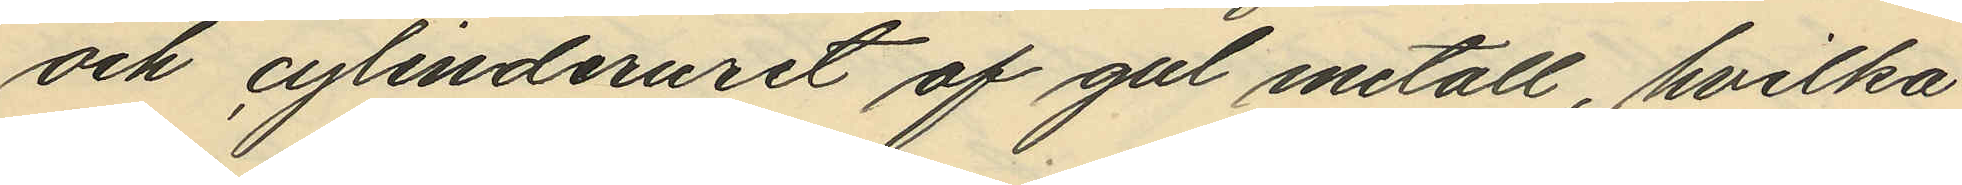och cylinderuret af gul metall, hvilka
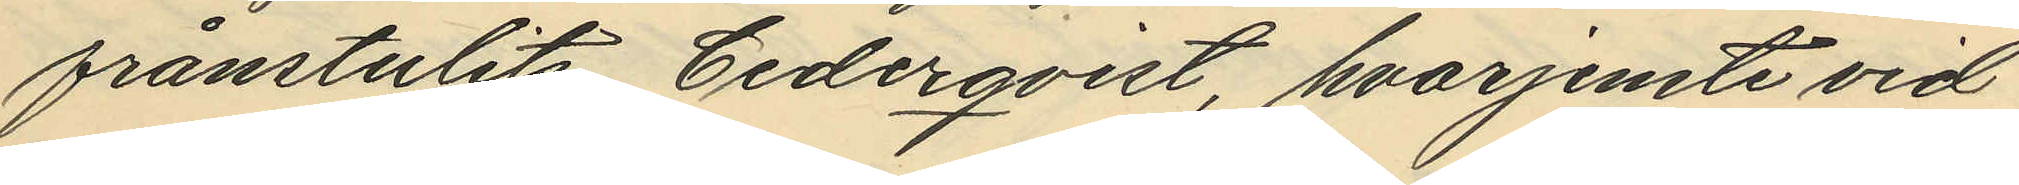frånstulits Cederqvist, hvarjemte vid
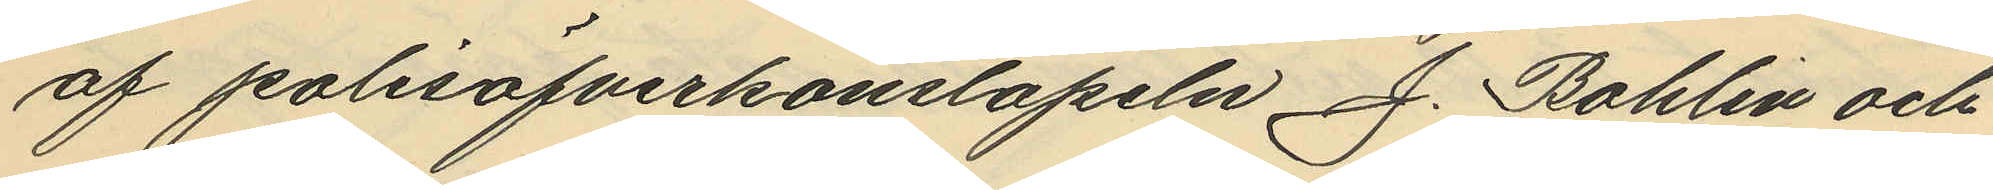af polisöfverkonstapeln J. Bohlin och
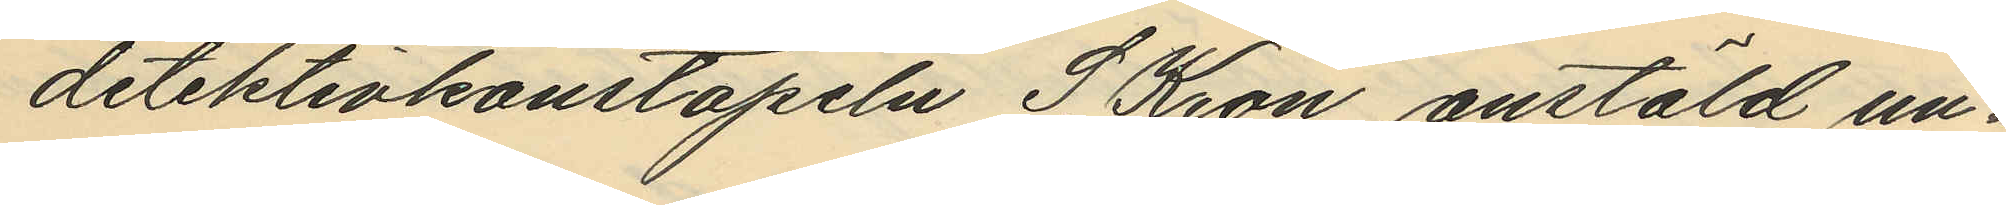detektivkonstapeln S. Kron anstäld un¬
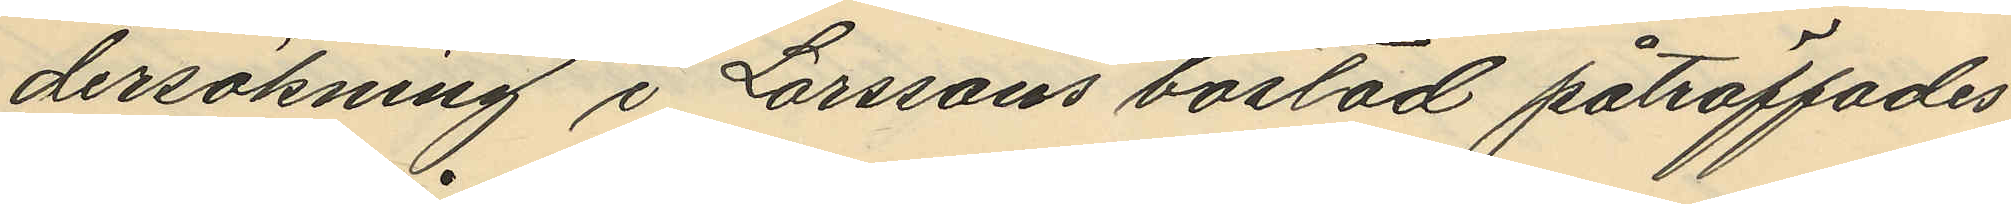dersökning i Larssons bostad påträffades
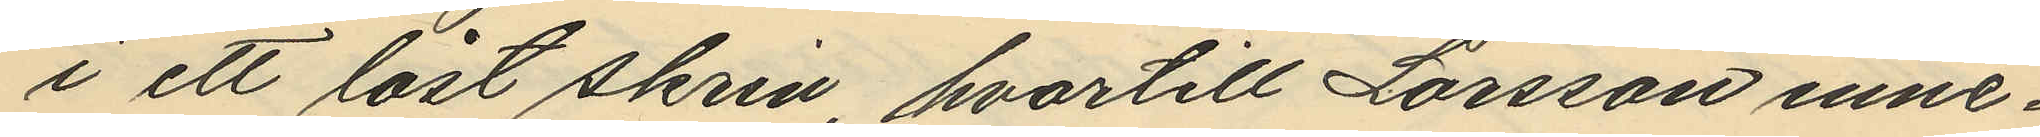i ett låst skrin, hvartill Larsson inne¬
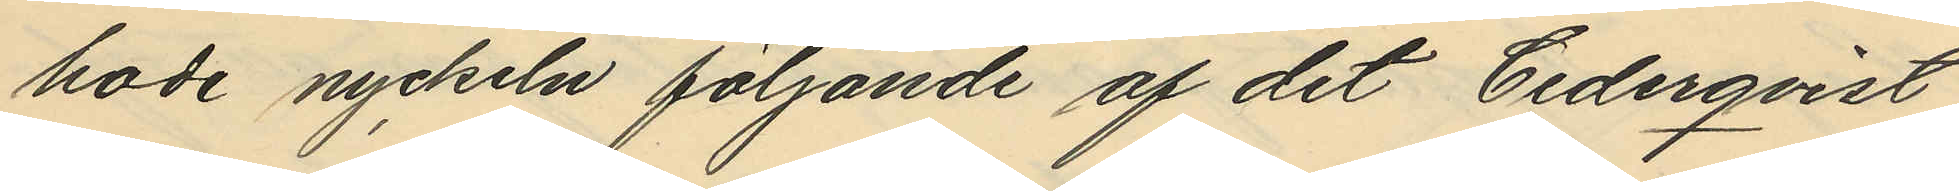hade nyckeln följande af det Cederqvist
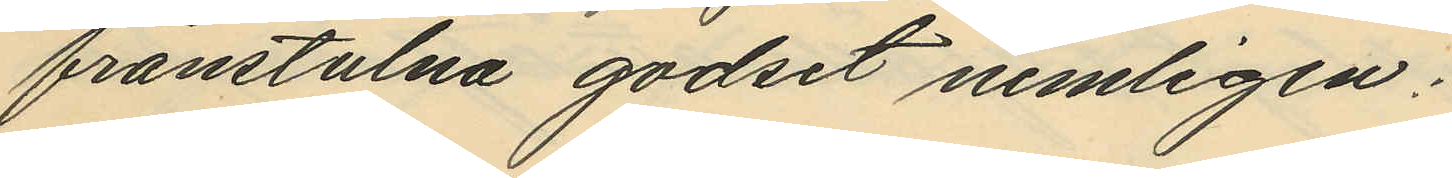frånstulna godset nemligen:
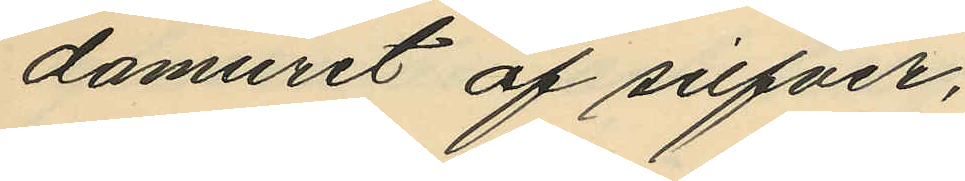damuret af silfver,
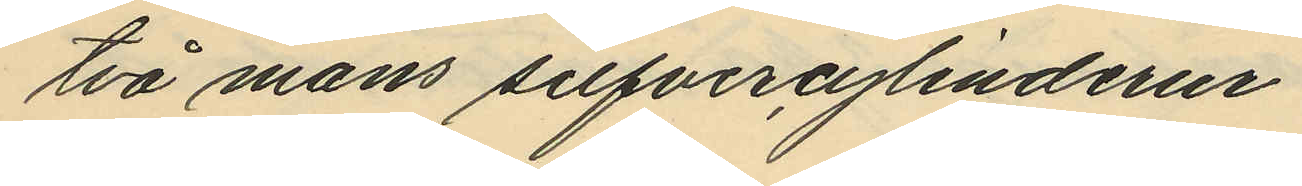två mans silfvercylinderur
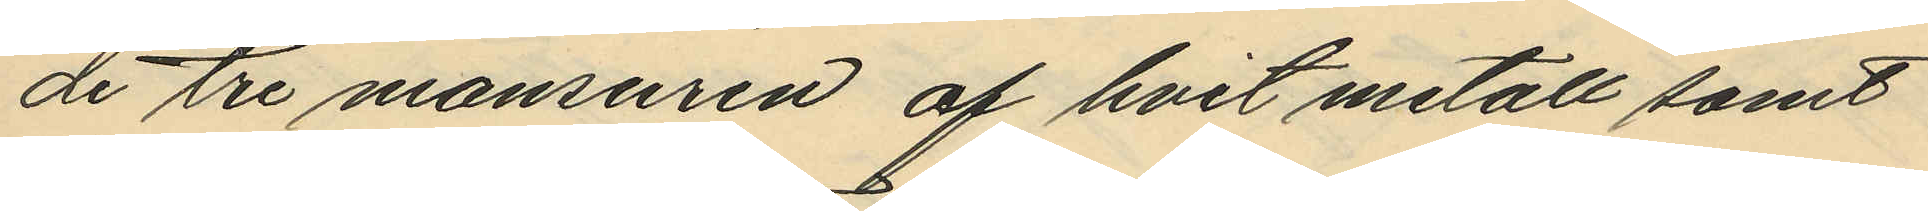de tre mansuren af hvit metall samt
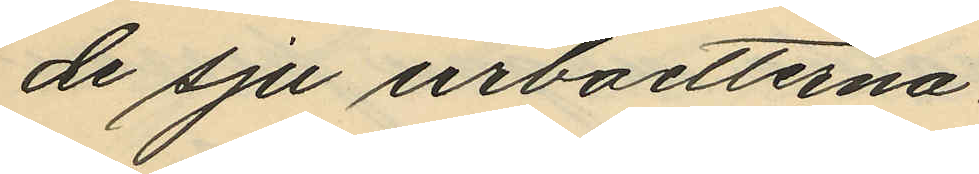de sju urboetterna.
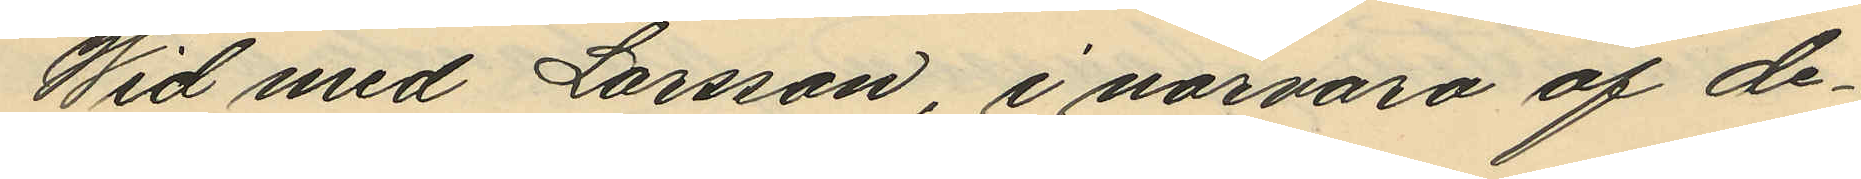Wid med Larsson, i närvaro af de¬
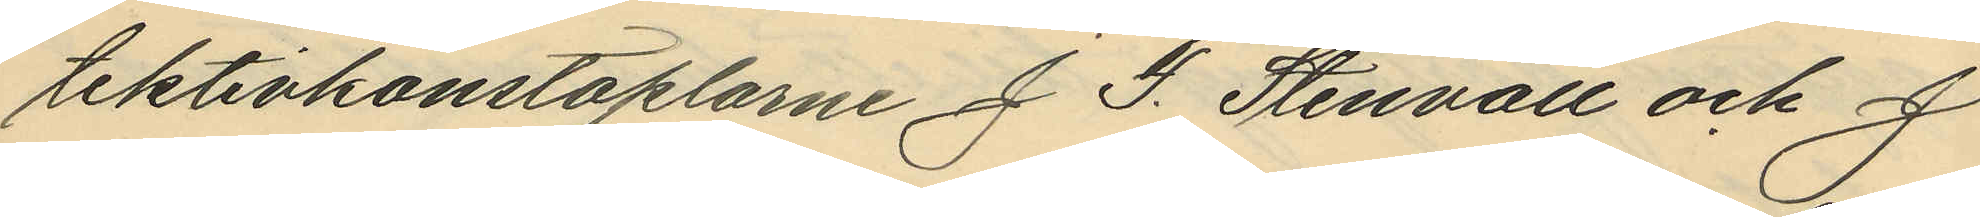tektivkonstaplarne J. F. Stenvall och J
